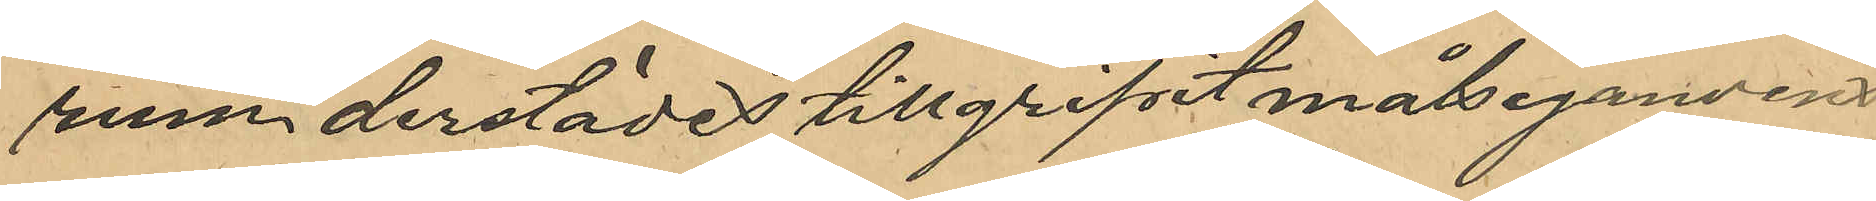rum derstädes tillgripit målsegandens
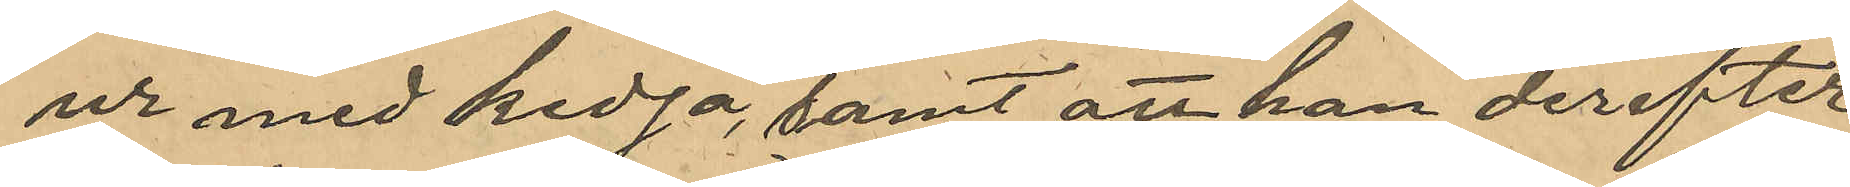ur med kedja, samt att han derefter
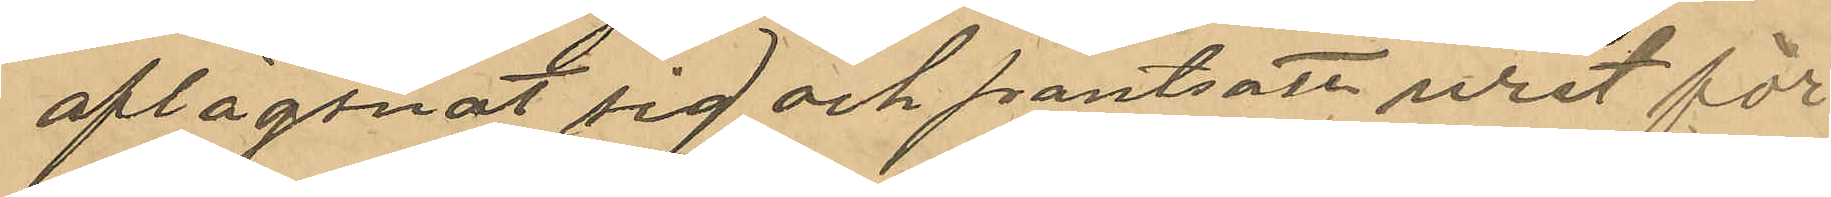aflägsnat sig och pantsatt uret för
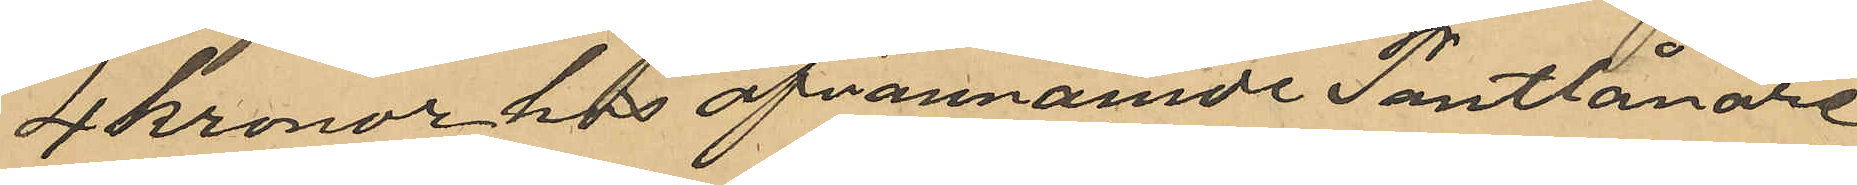4 kronor hos ofvannämnde Pantlånare
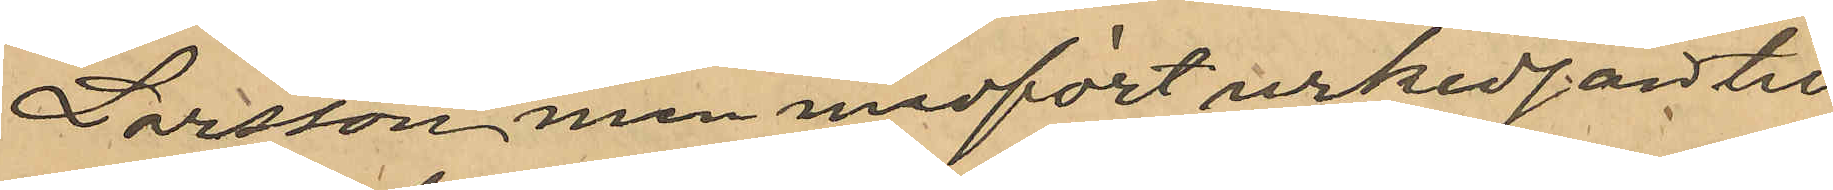Larsson men medfört urkedjan till
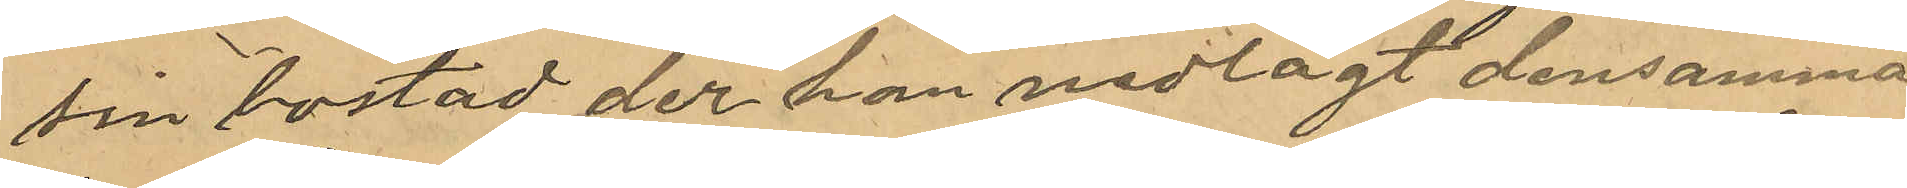sin bostad der han nedlagt densamma
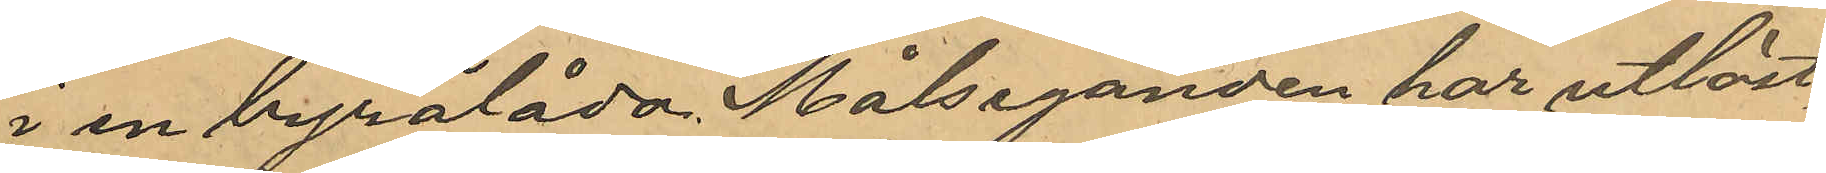i en byrålåda. Målseganden har utlöst
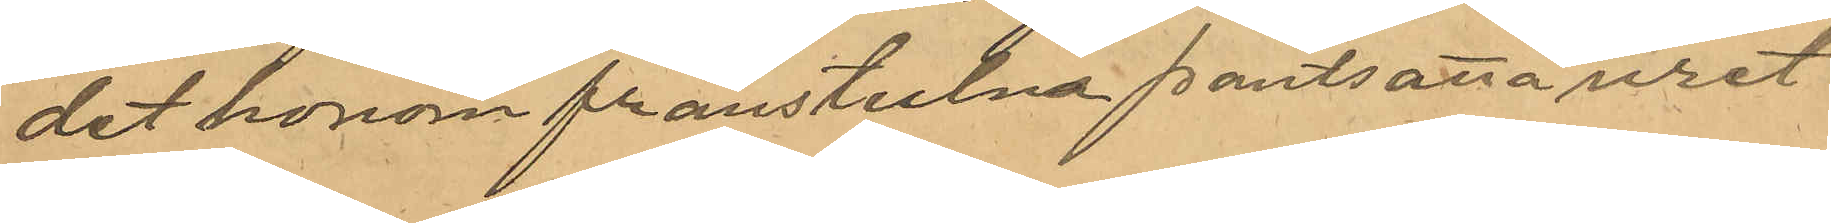det honom frånstulna pantsatta uret
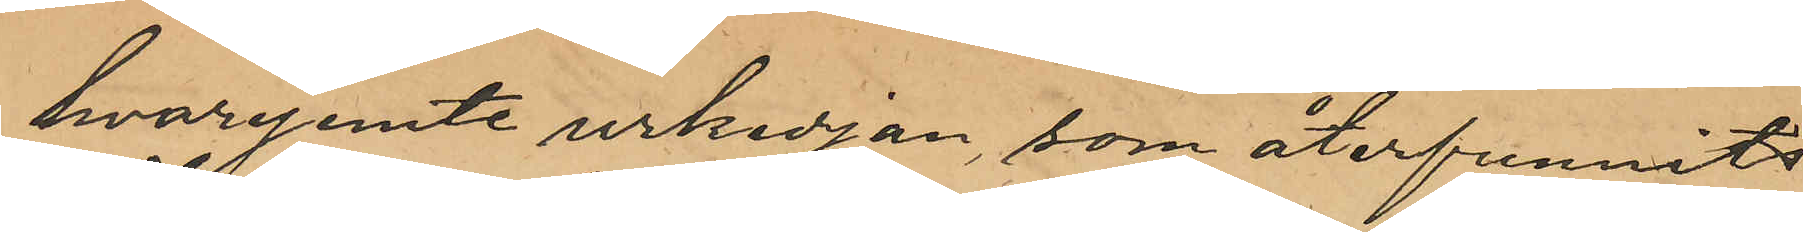hvarjemte urkedjan som återfunnits
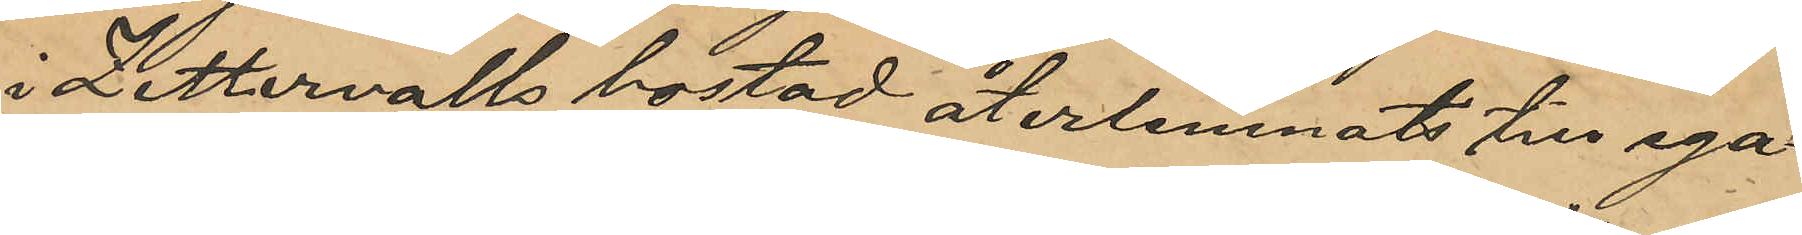i Zettervalls bostad återlemnats till ega¬
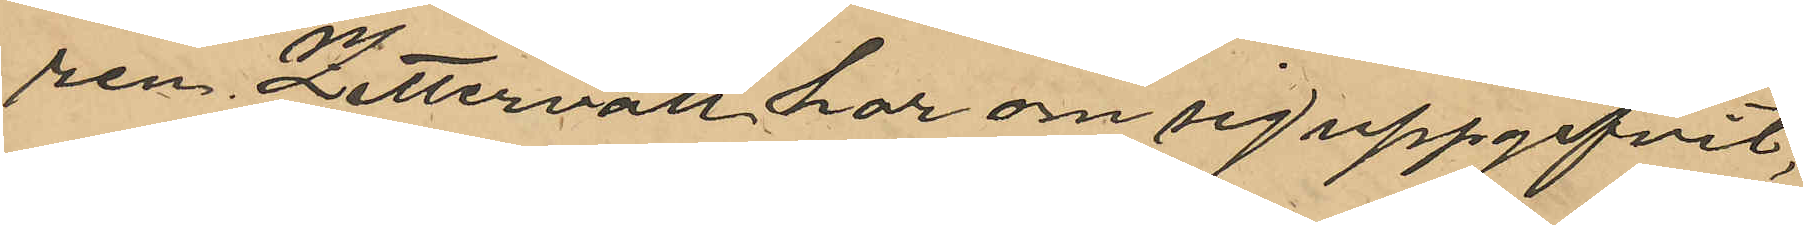ren. Zettervall har om sig uppgifvit,
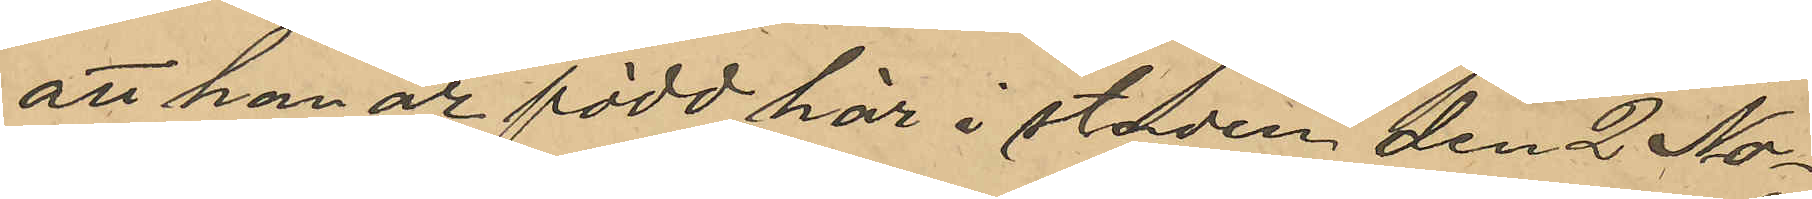att han är född här i staden den 2 No¬
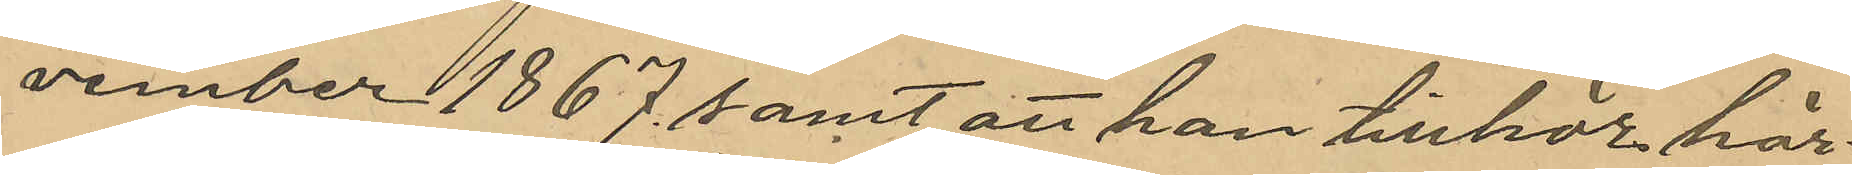vember 1867 samt att han tillhör här¬
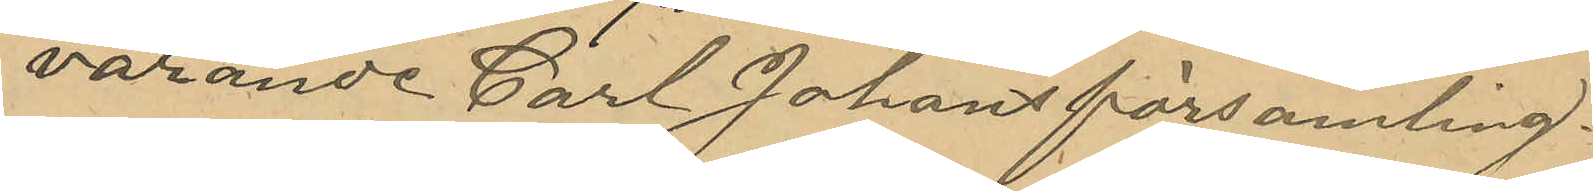varande Carl Johans församling.
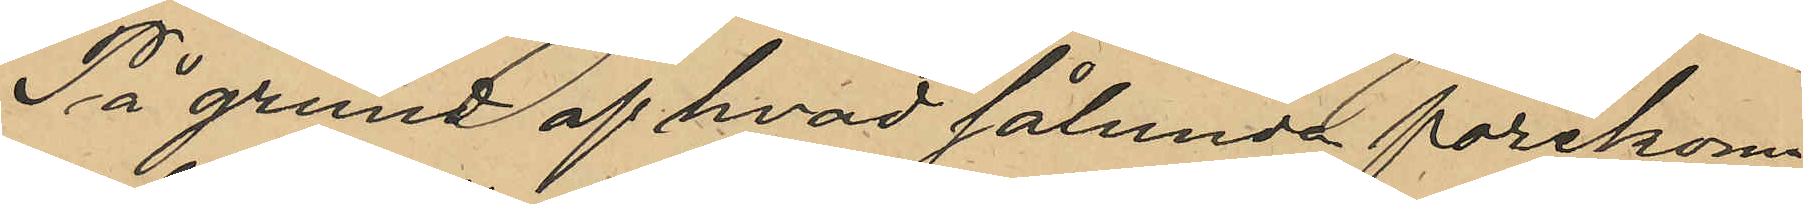På grund af hvad sålunda förekom¬
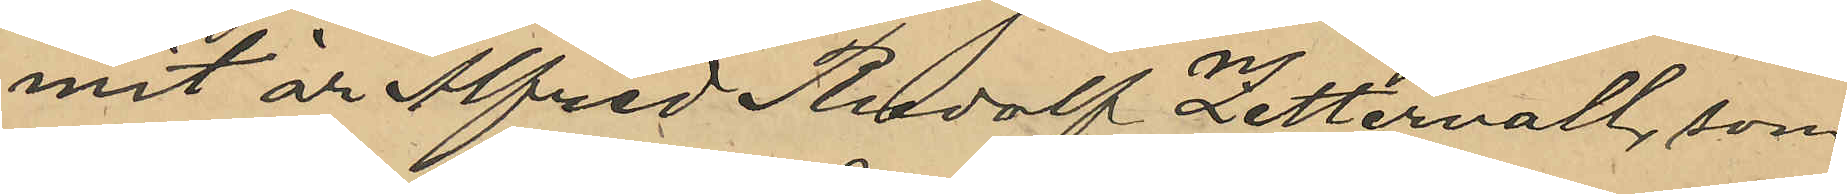mit är Alfred Rudolf Zettervall, som
